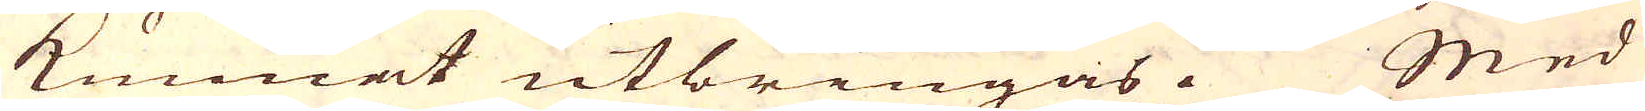kunnat utbringas. Med
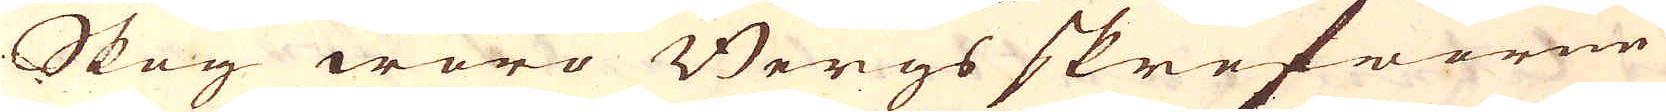Skog woro Bergs skrefworne
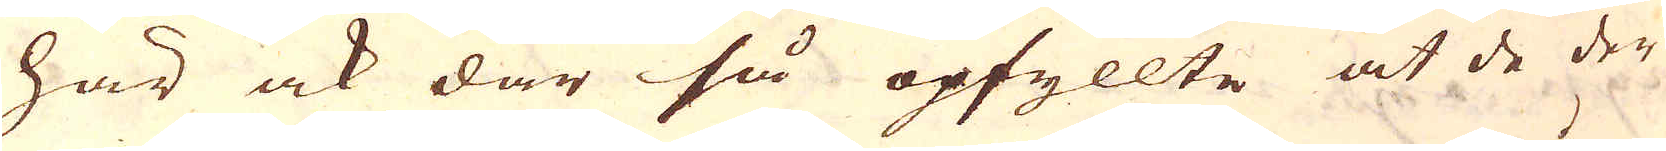här ock där så opfyllte at de der
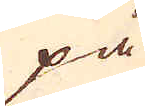på
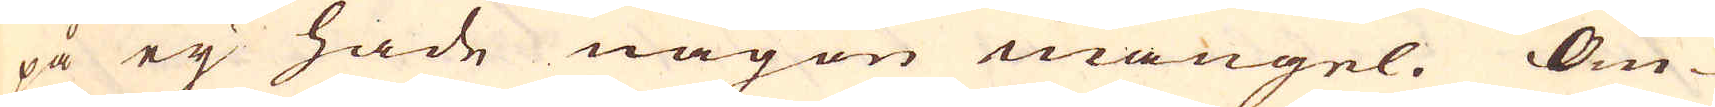på eij hade någon mangel. Om-
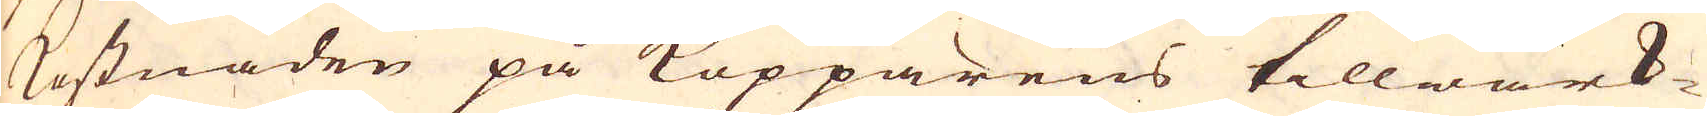kostnaden på Kopparens tillwärk-
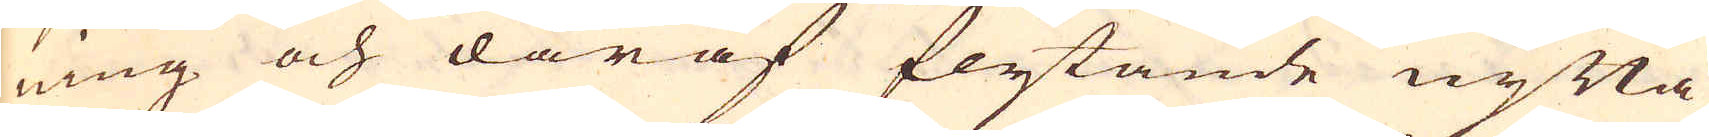ning och däraf flytande nytta
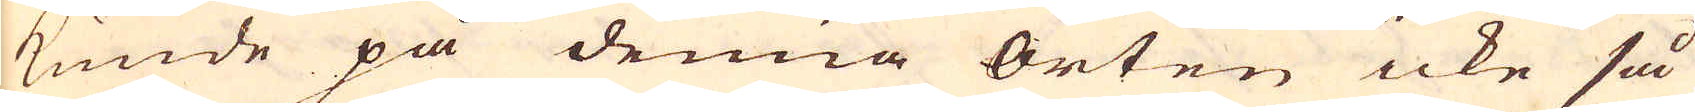kunde på denna orten icke så
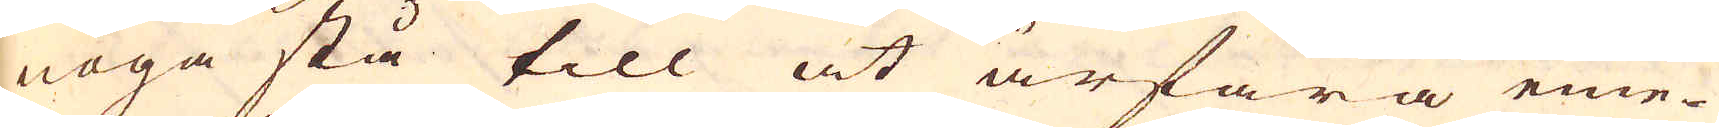noga stå till at ärfara eme-
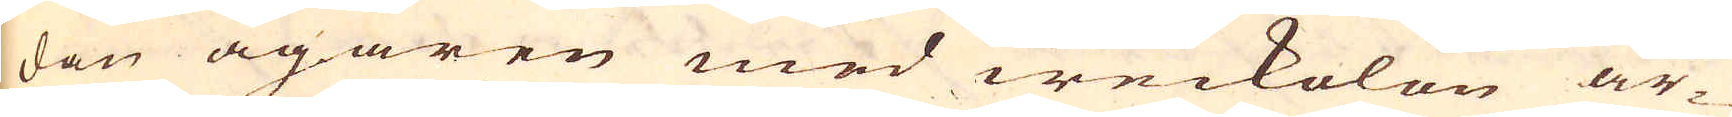dan ägaren med weckolön ar-
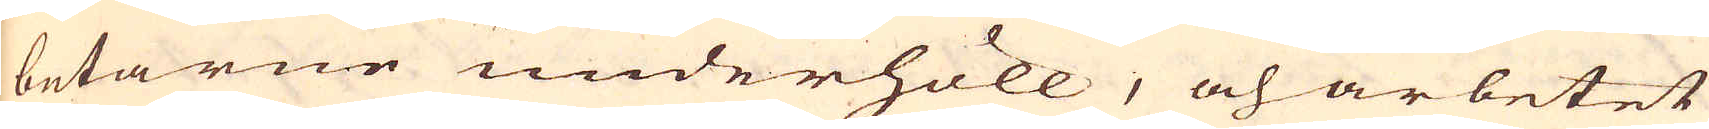betarne underhöll, och arbetet
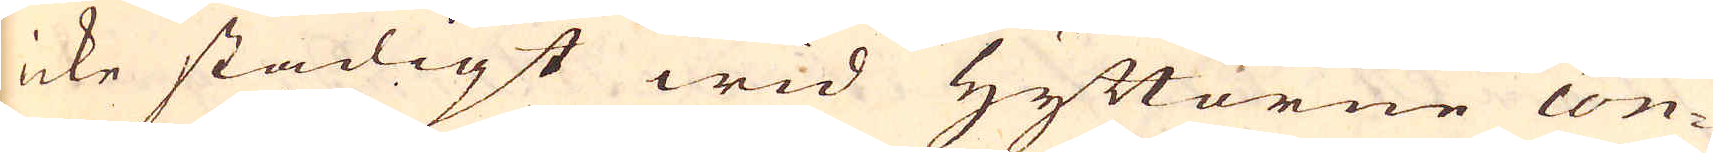icke stadigt wid Hyttorne con-
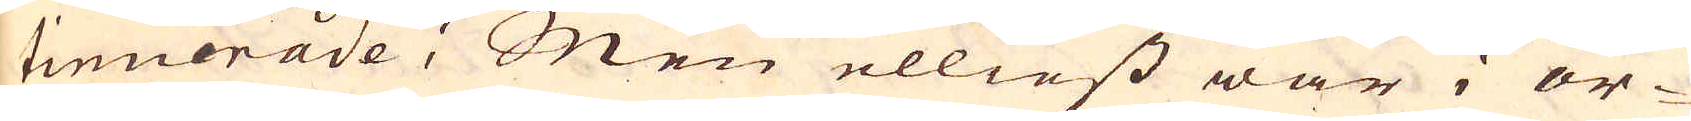tinuerade; Men elliest war i or-
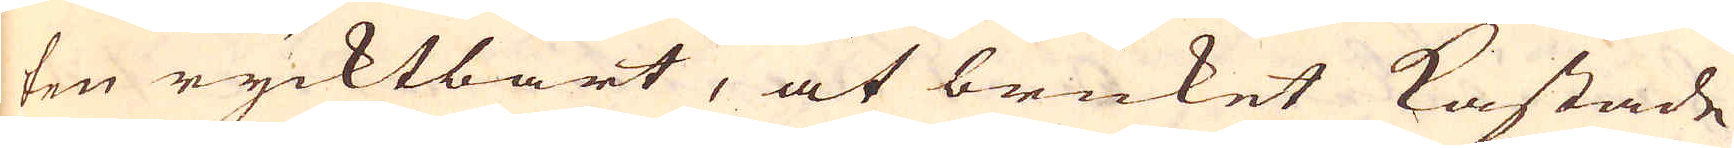ten rycktbart, at bruket kastade
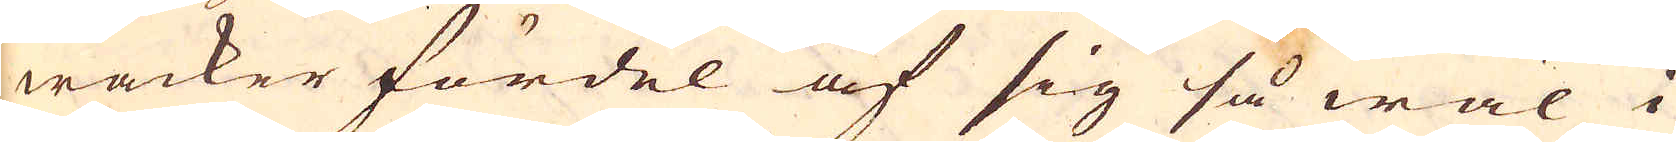wacker fördel af sig så wäl i
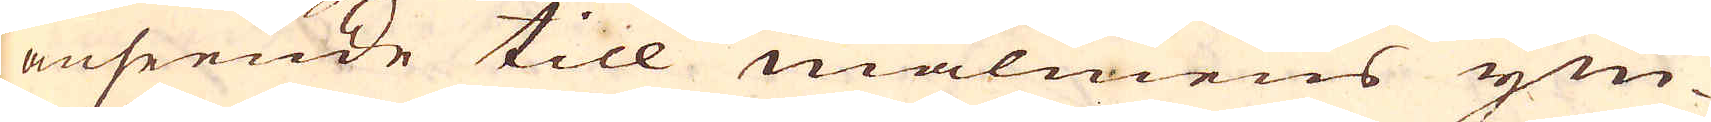anseende till malmens ym-
